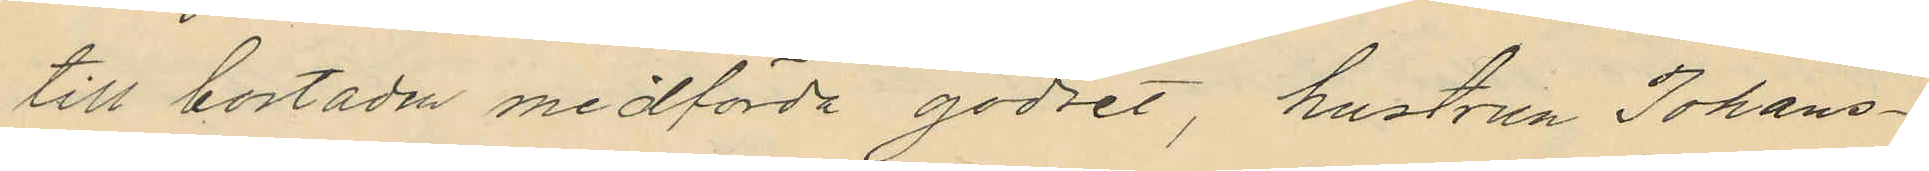till bostaden medförda godset, hustrun Johans¬
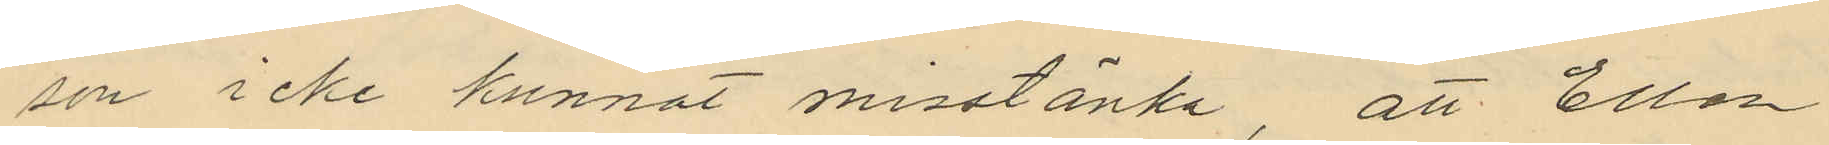son icke kunnat misstänka att Ellen
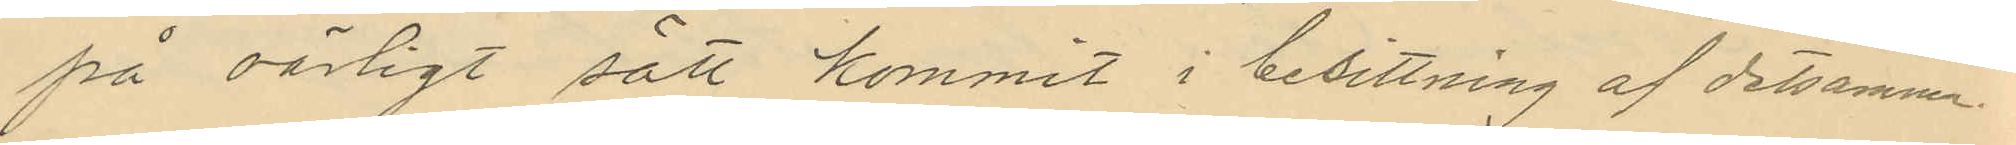på oärligt sätt kommit i besittning af detsamma
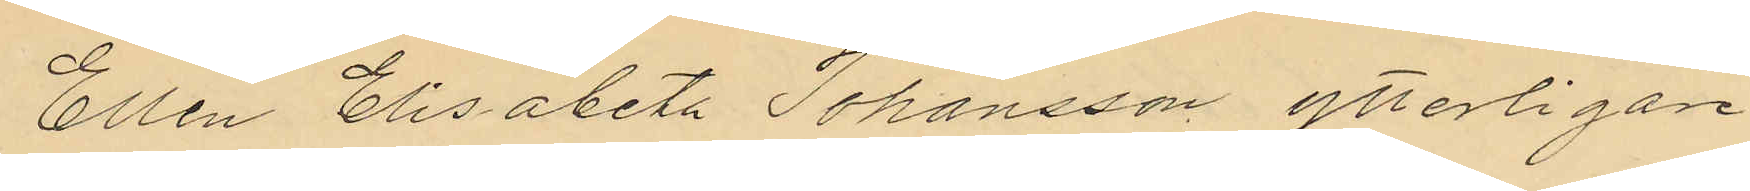Ellen Elisabeth Johansson ytterligare
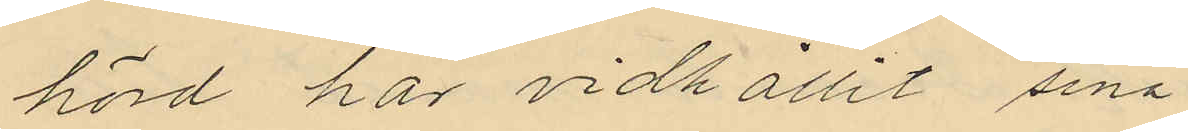hörd har vidhållit sina
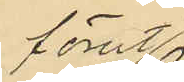förut
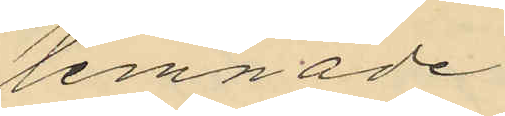lemnade
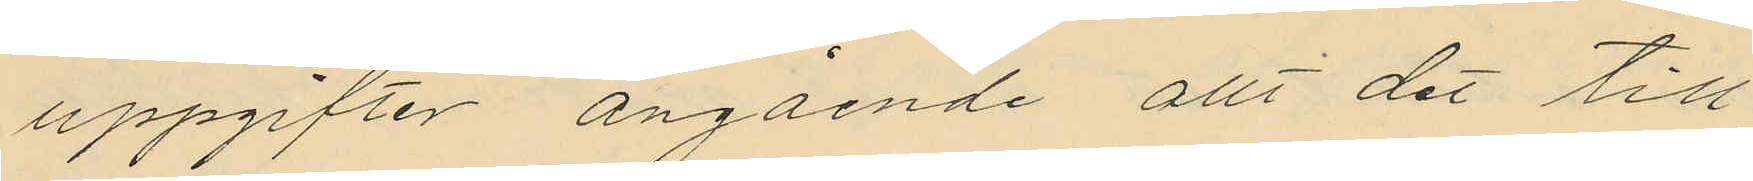uppgifter angående allt det till
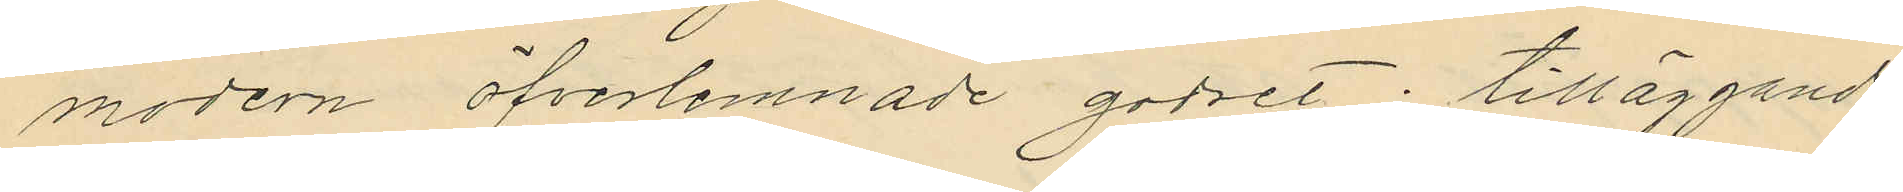modern öfverlemnade godset; tilläggande
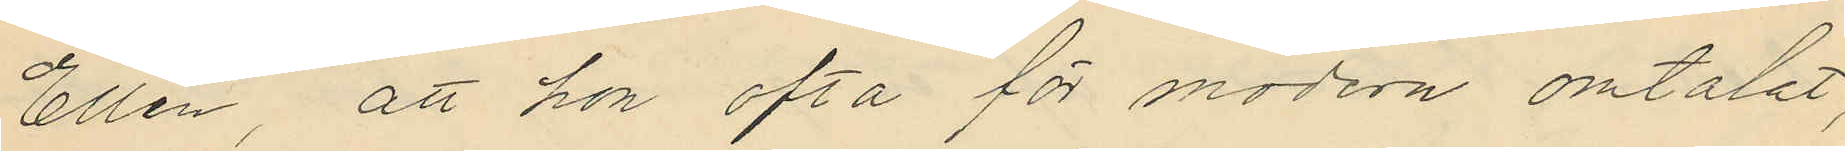Ellen, att hon ofta för modern omtalat,
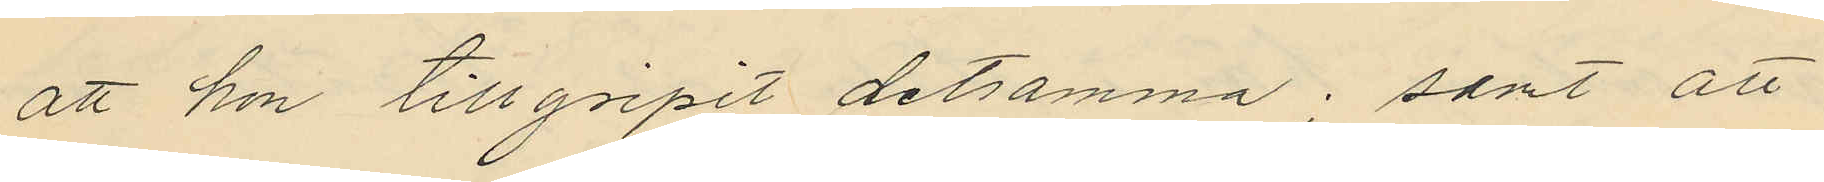att hon tillgripit detsamma; samt att
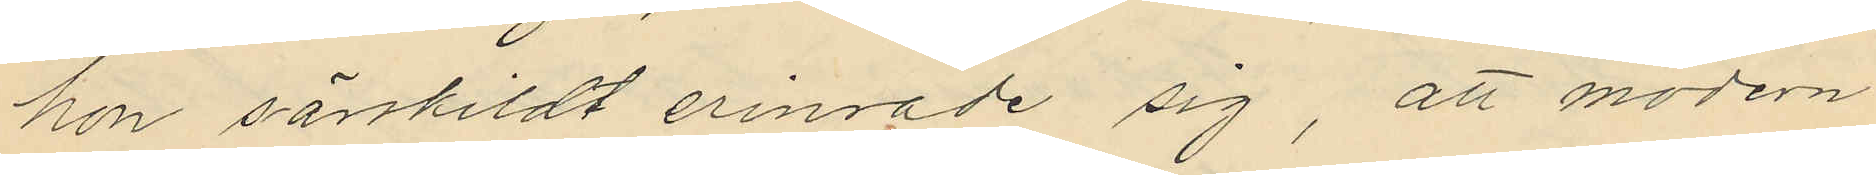hon särskildt erinrade sig, att modern
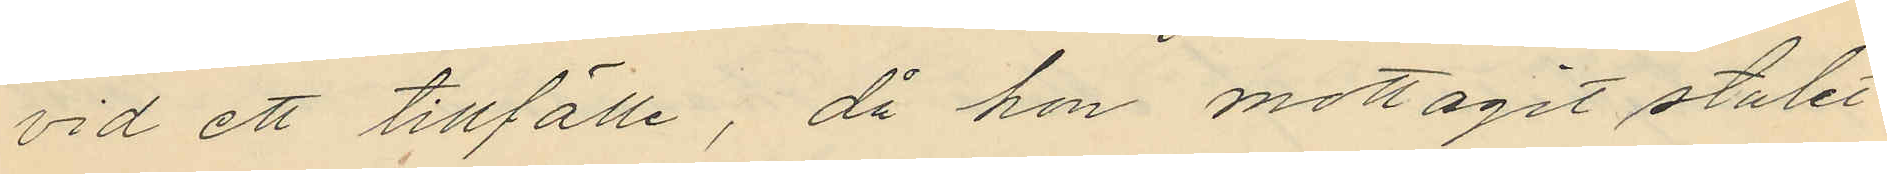vid ett tillfälle, då hon mottagit stulet
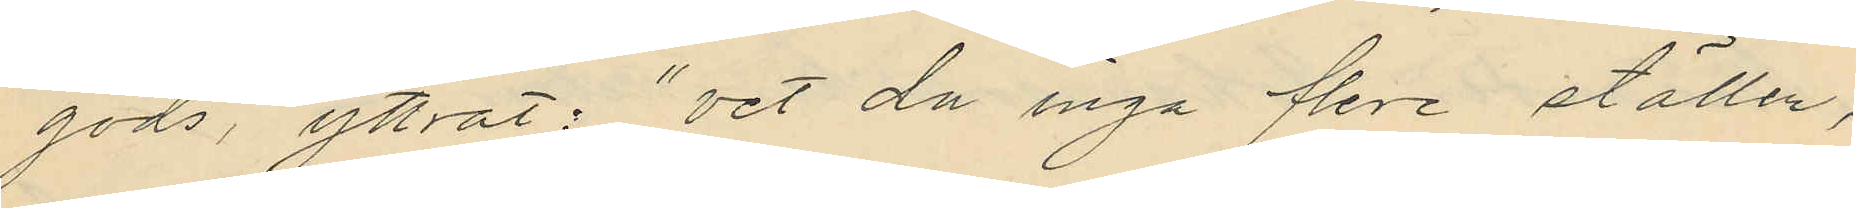gods, yttrat: "vet du inga flere ställen,
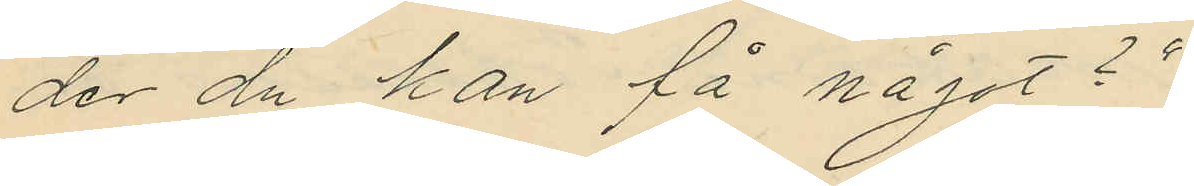der du kan få något?"
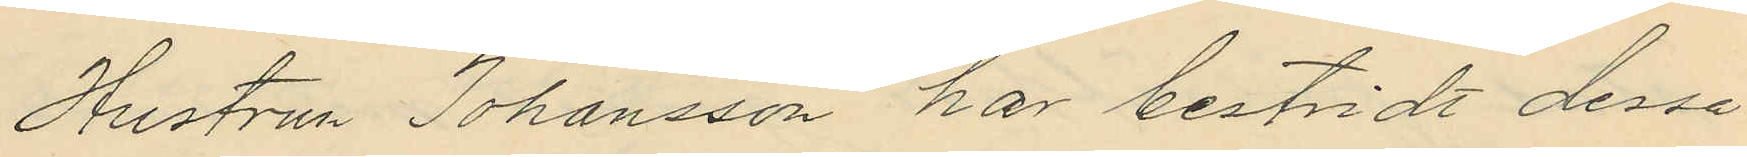Hustrun Johansson har bestridt dessa
